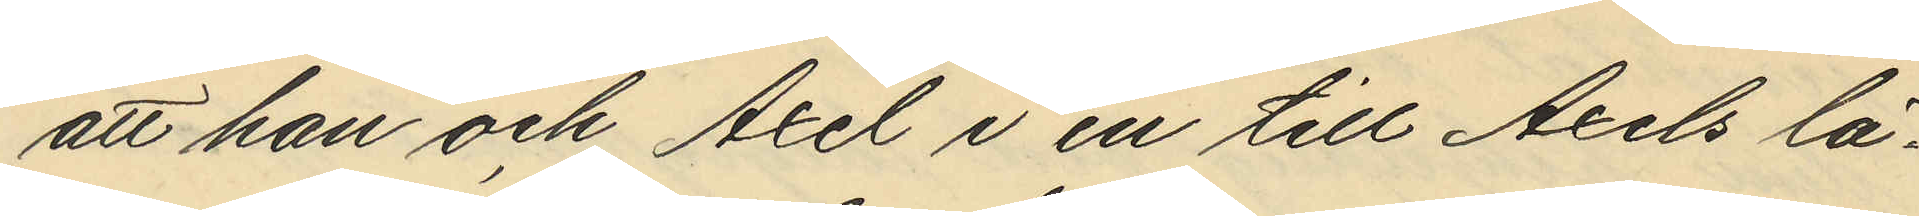att och Axel i en till Axels lä¬
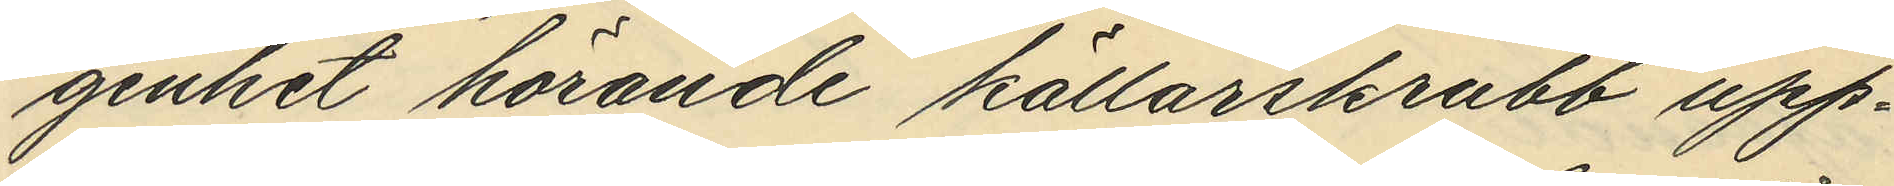genhet hörande källarskrubb upp¬
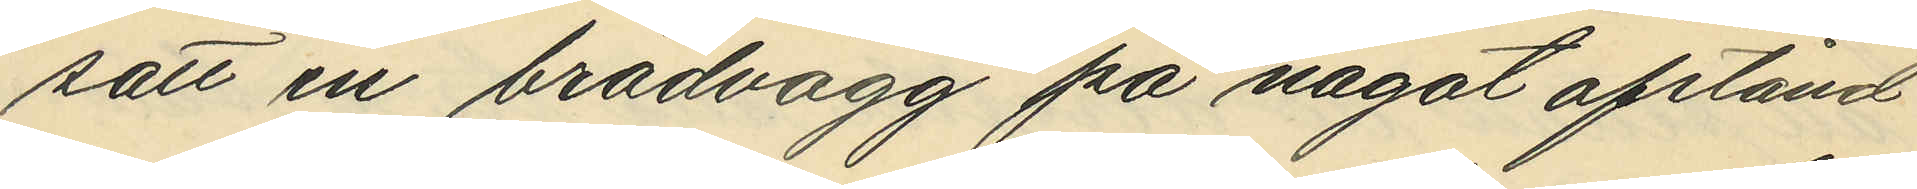satt en brädvägg på något afstånd
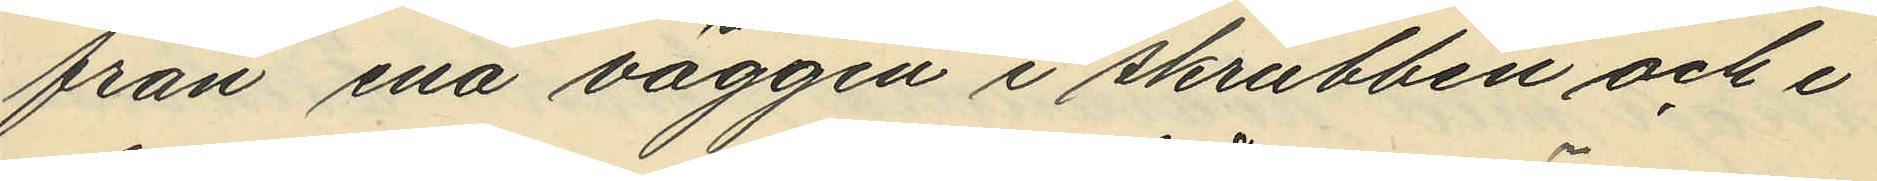från ena väggen i skrubben och i
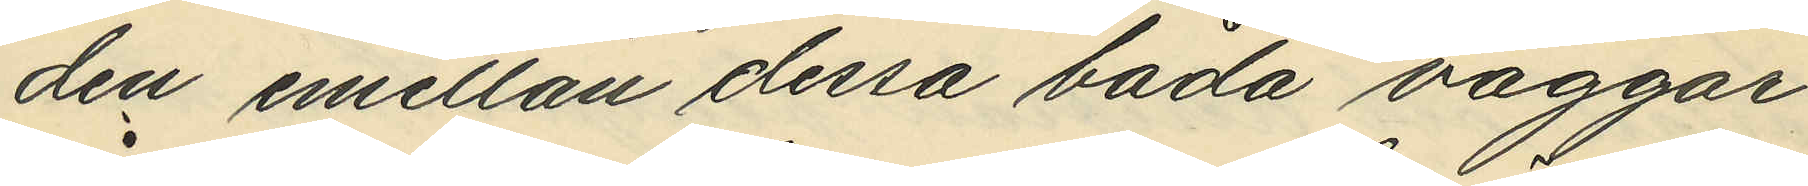den mellan dessa båda väggar
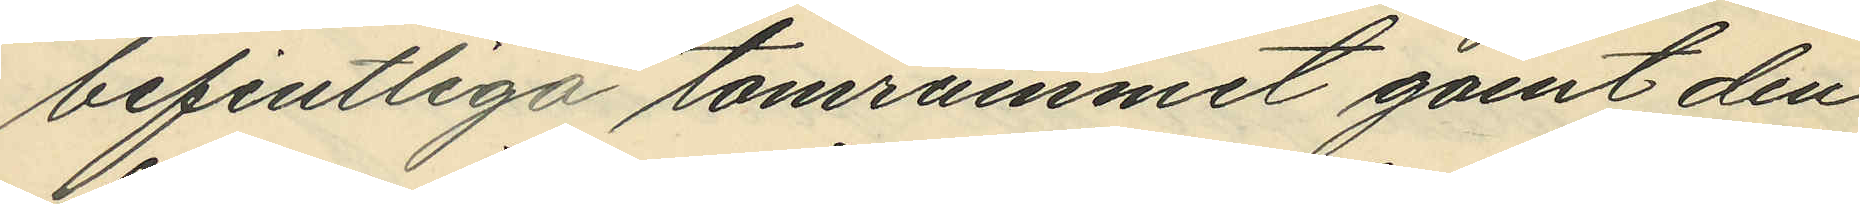befintliga tomrummet gömt den
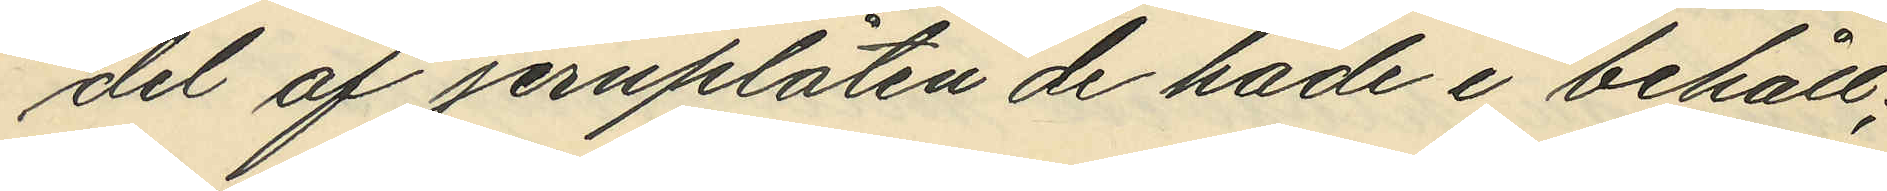del af jernplåten de hade i behåll;
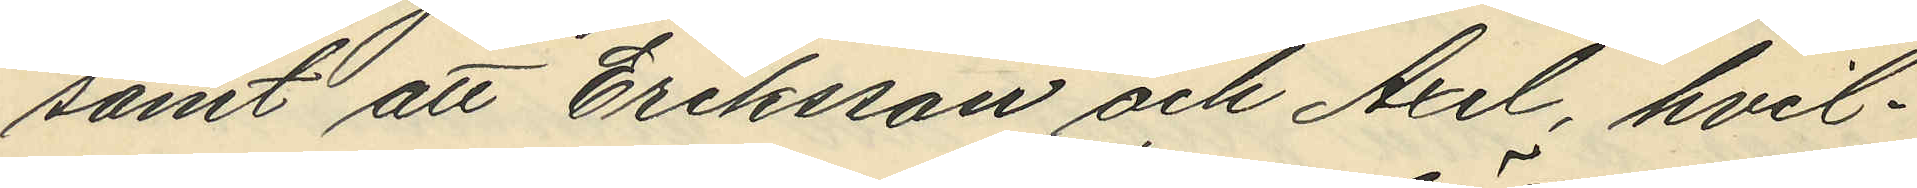samt att Eriksson och Axel hvil¬
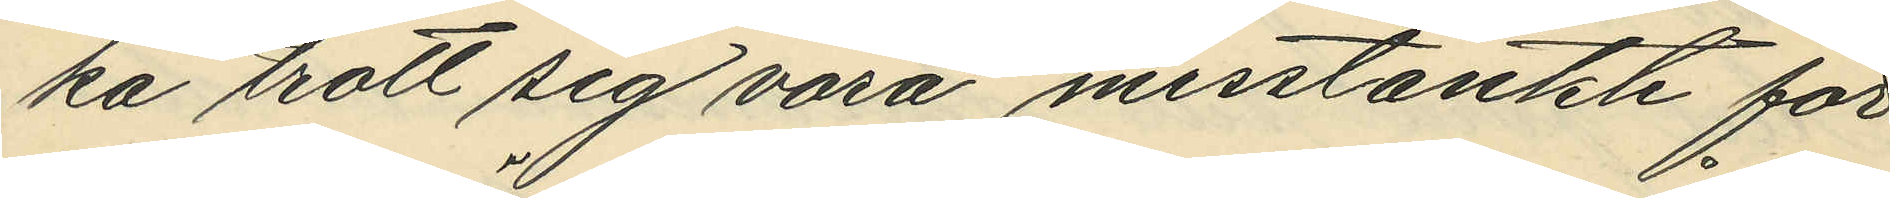ka trott sig vara misstänkte för
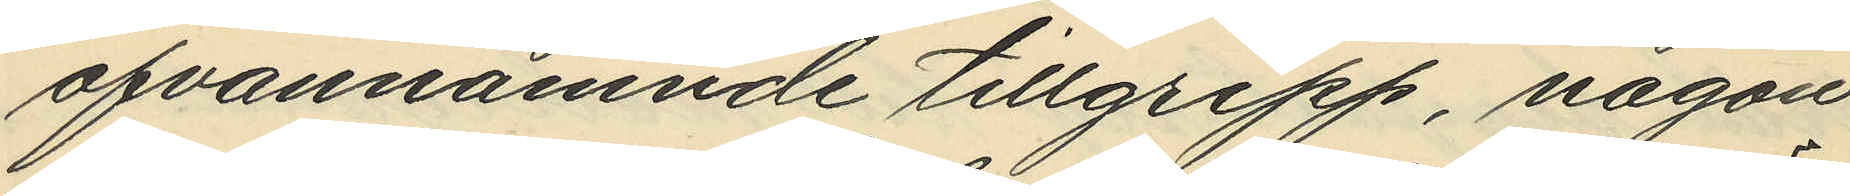ofvannämnde tillgrepp, någon
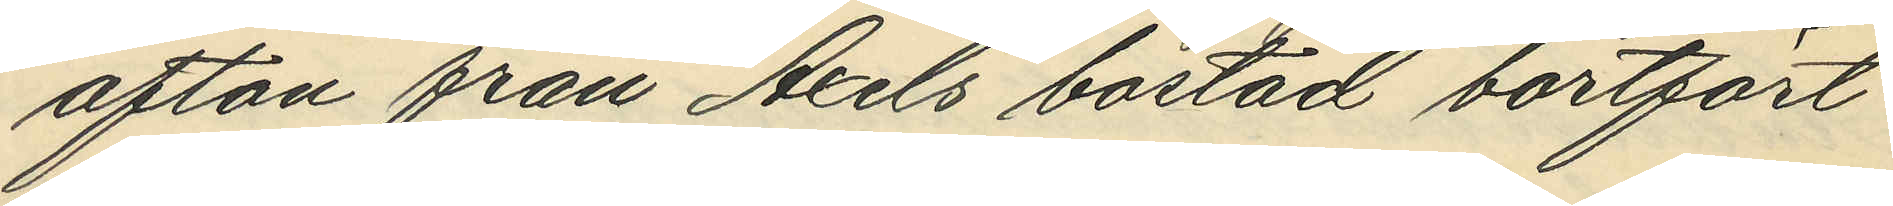afton från Axels bostad bortfört
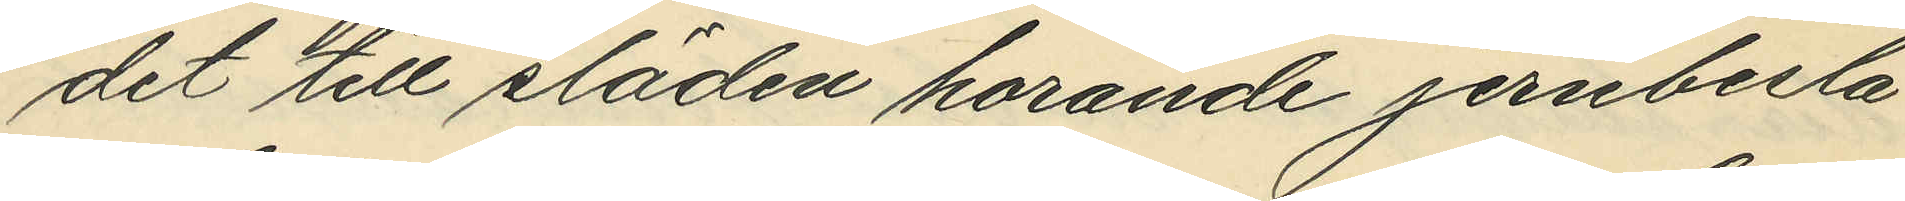det till släden horande jernbesla¬
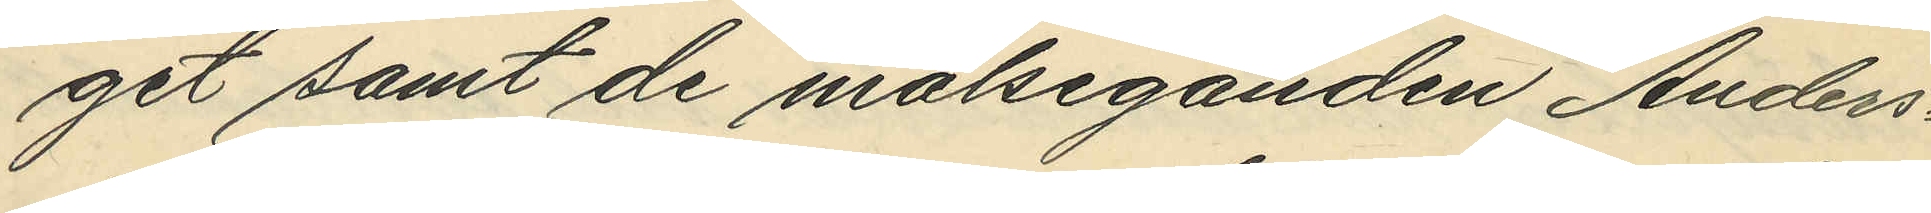get samt de målseganden Anders¬
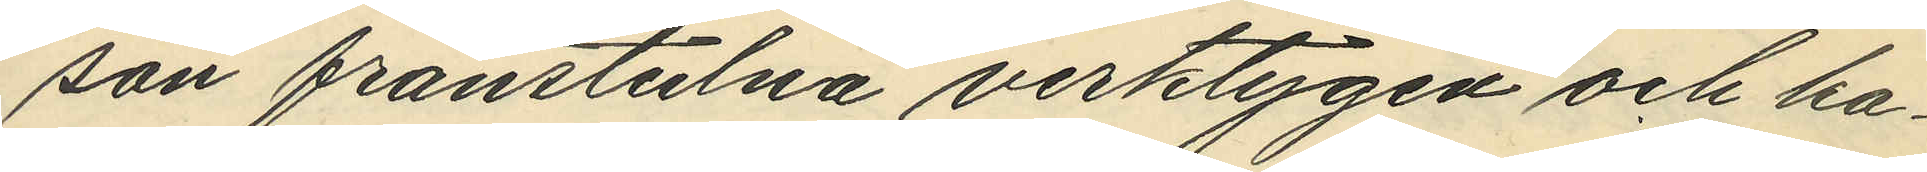son frånstulna verktygen och ka¬
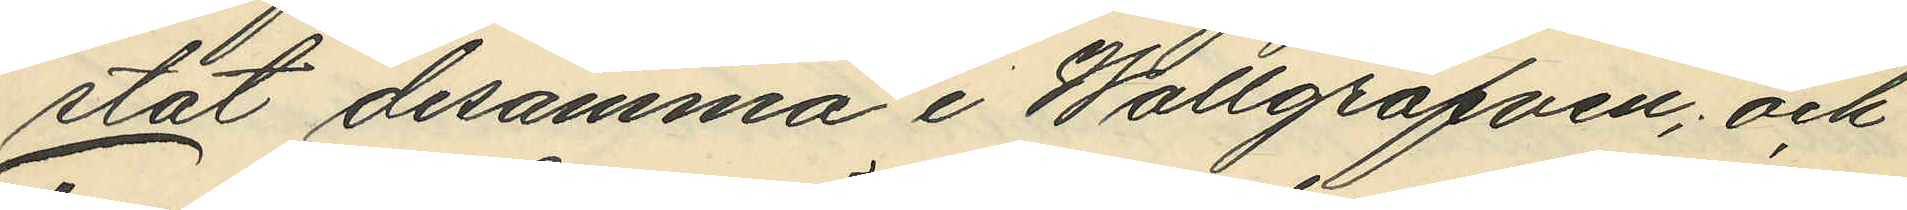stat desamma i Wallgraven; och
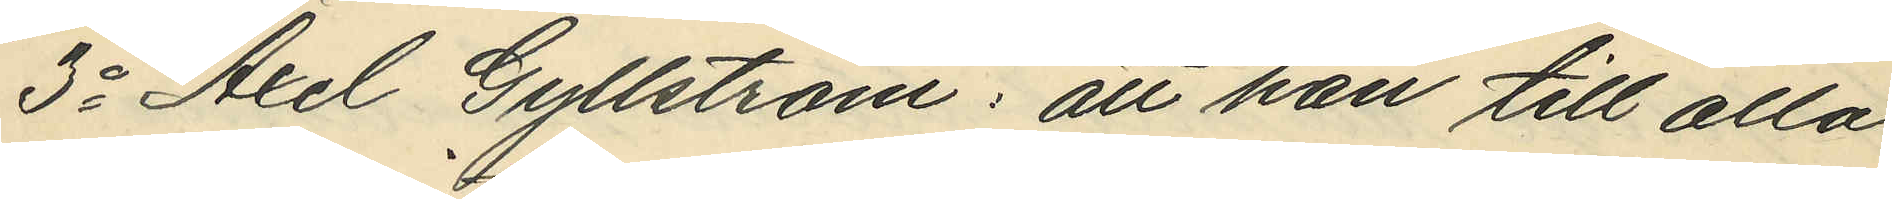3o Axel Gyllström: att han till alla
